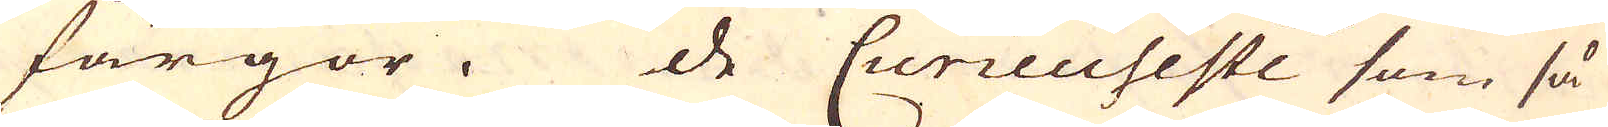färgor. De Curieuseste som så
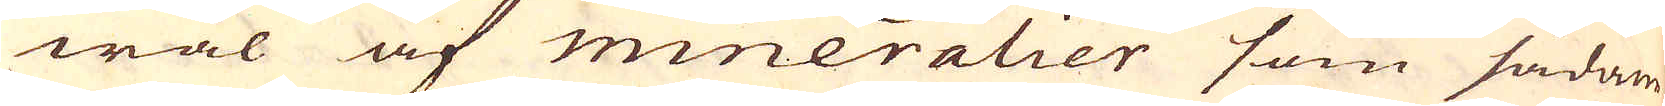wäl af mineralier som sådane
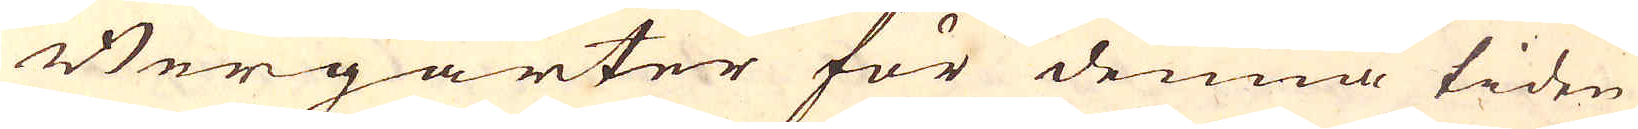Bergarter för denna tiden
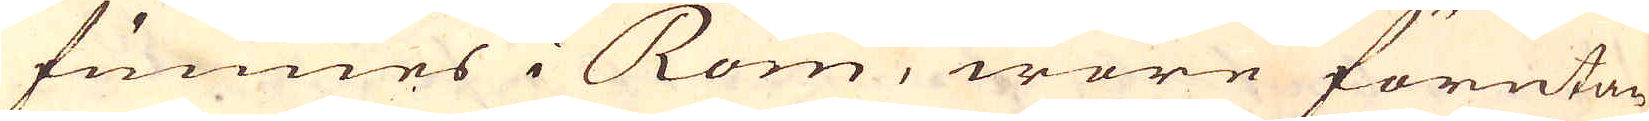funnes i Rom, wore förutan
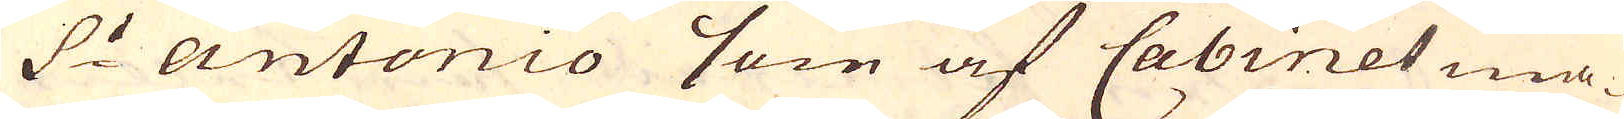S:t antonio som af Cabinet ma-
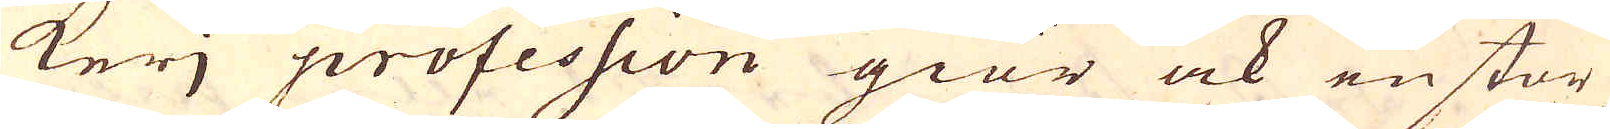kerj profession giör ock en stor
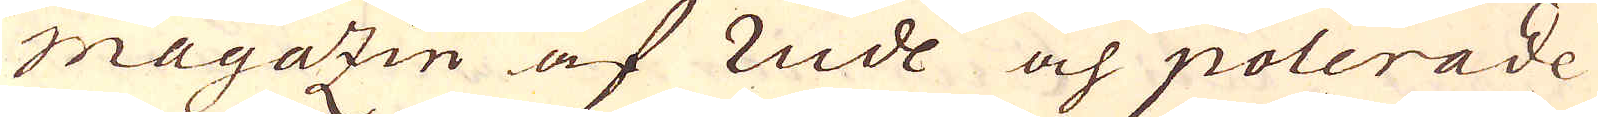Magazin af rude och polerade
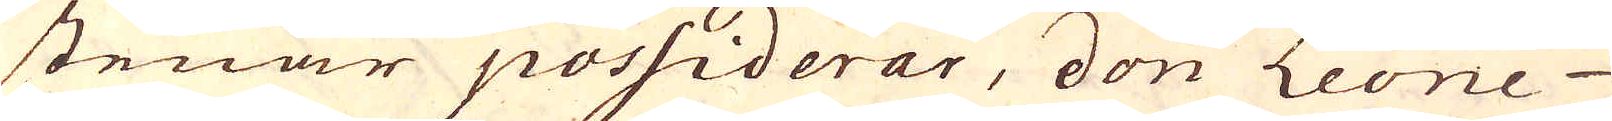stenar possiderar, don Leone
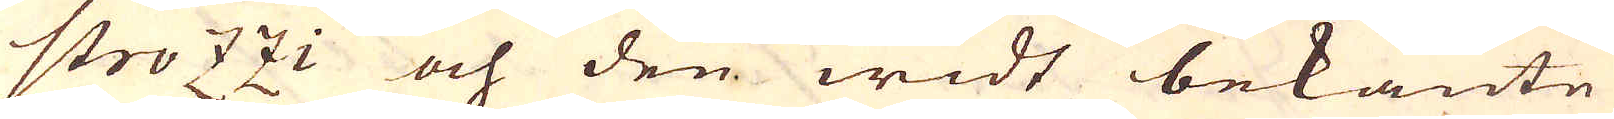strozzi och den widt bekante
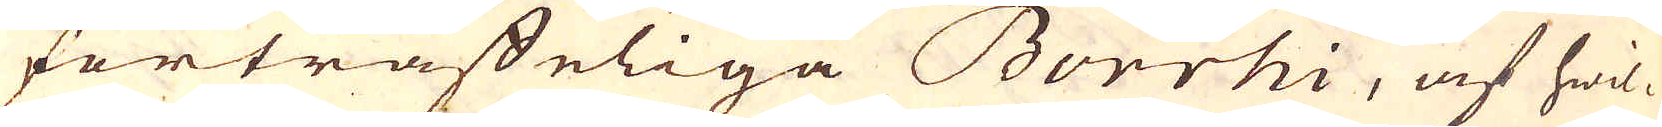förträffeliga Borrhi, af hwil-
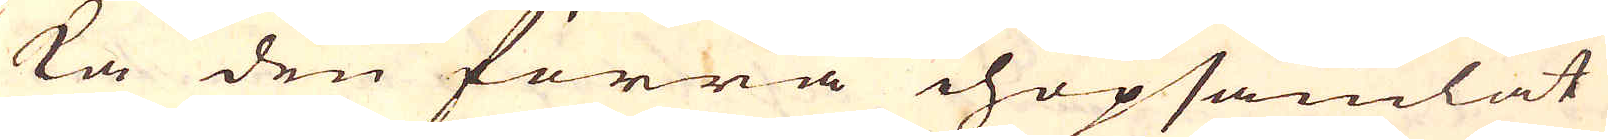ka den förra ihopsamlat
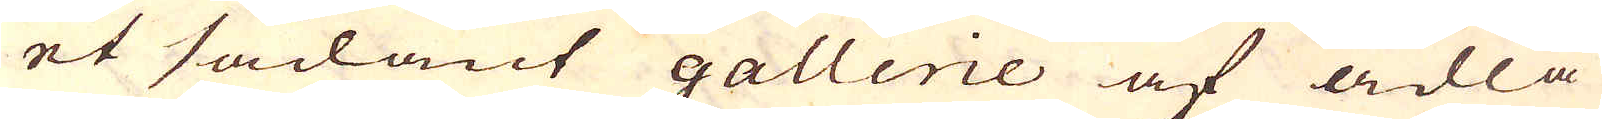et sådant gallerie af ädla
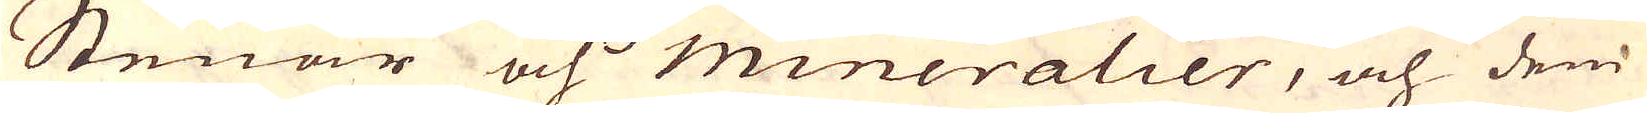Stenar och mineralier, och dem
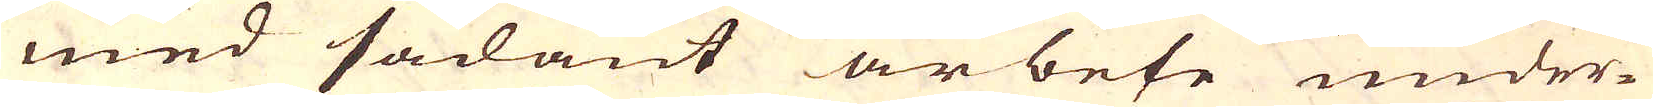med sådant arbete under-
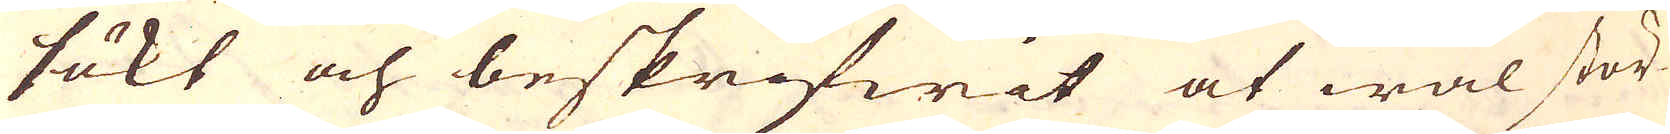sökt och beskrifwit at wäl stör-
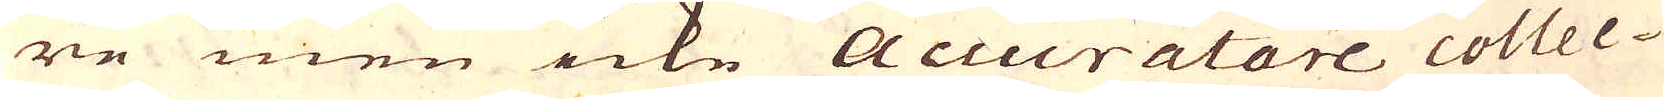re men icke accuratare collec-
